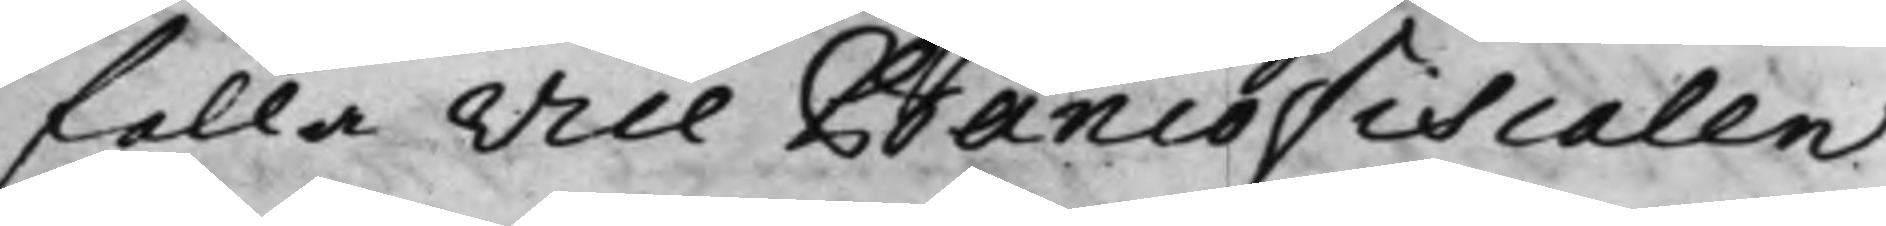falla Vice Bancofiscalen
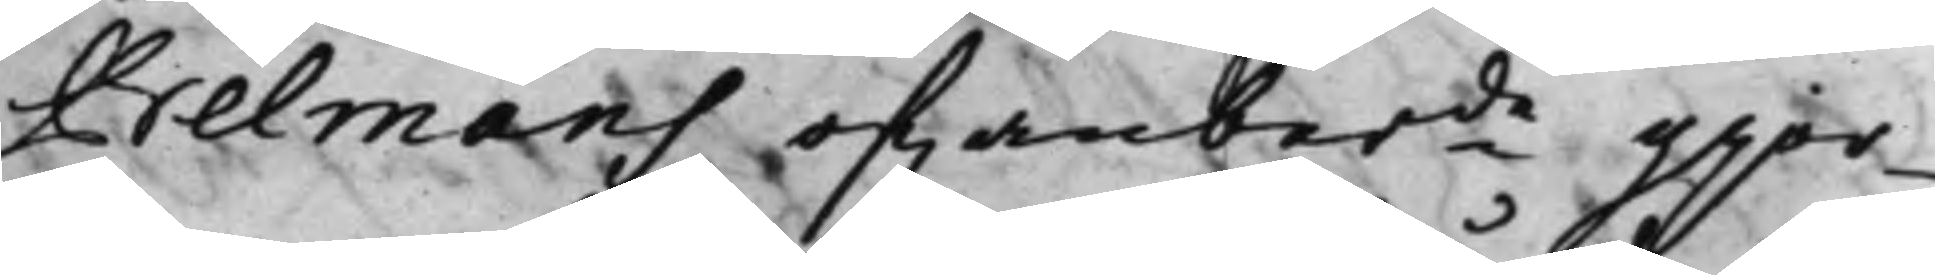Belmans of.anber.de gjor¬
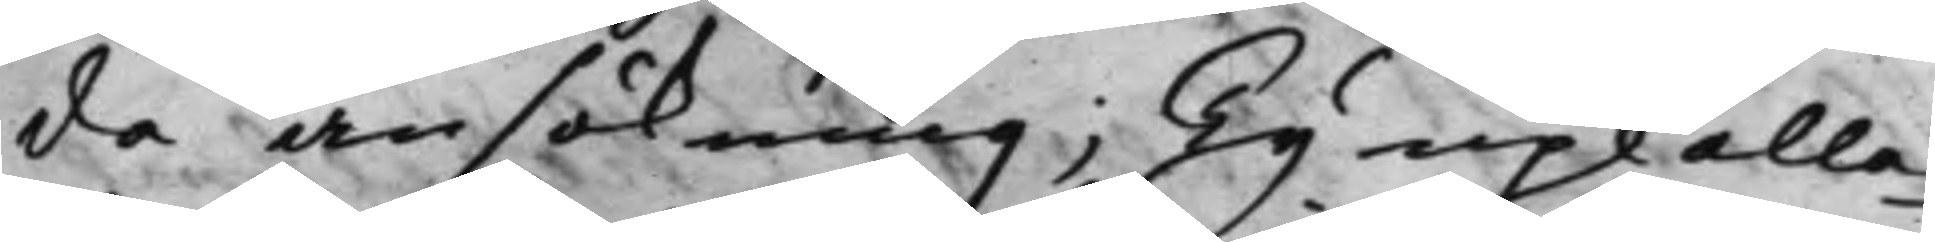de ansökning; Ty upkalla¬
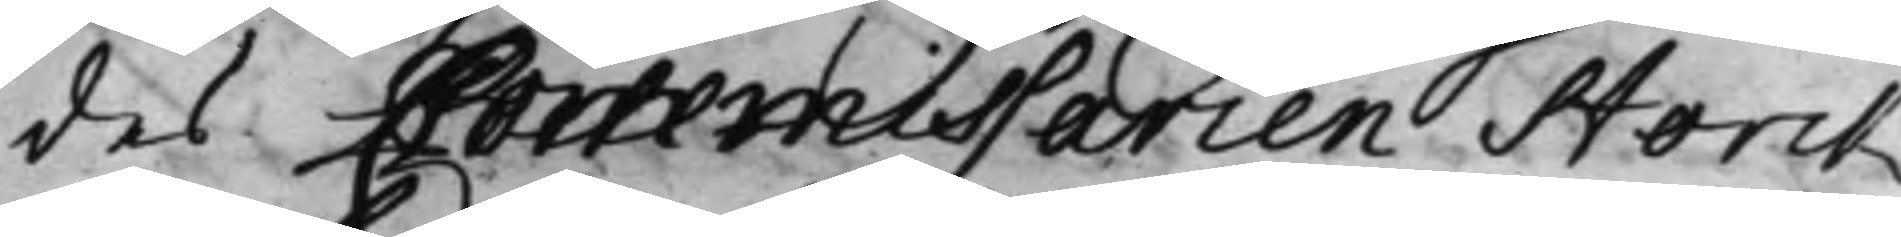des Commissarien Storck
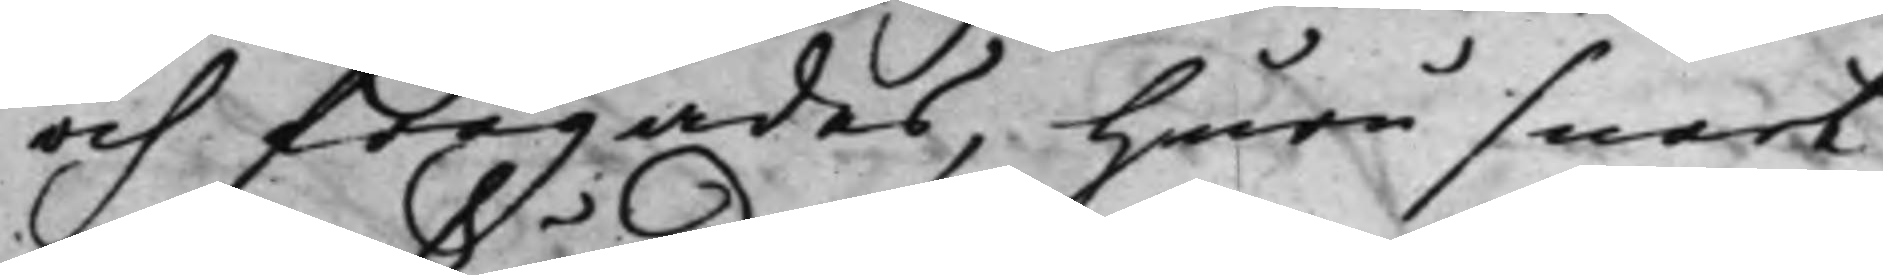och frågades, Huru snart
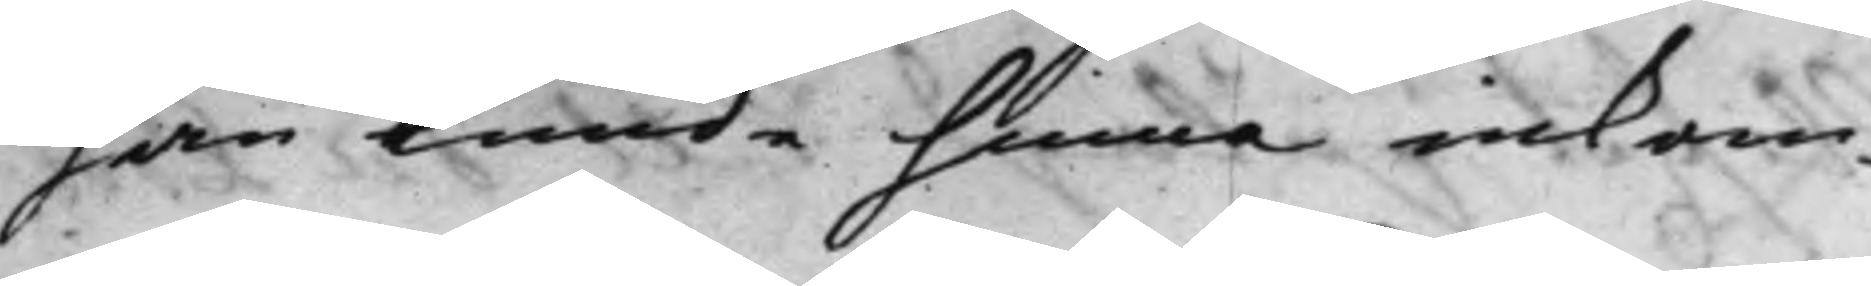han kunde hinna inkom¬
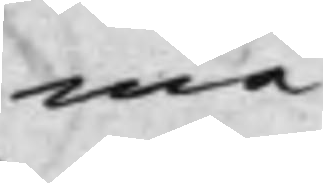ma
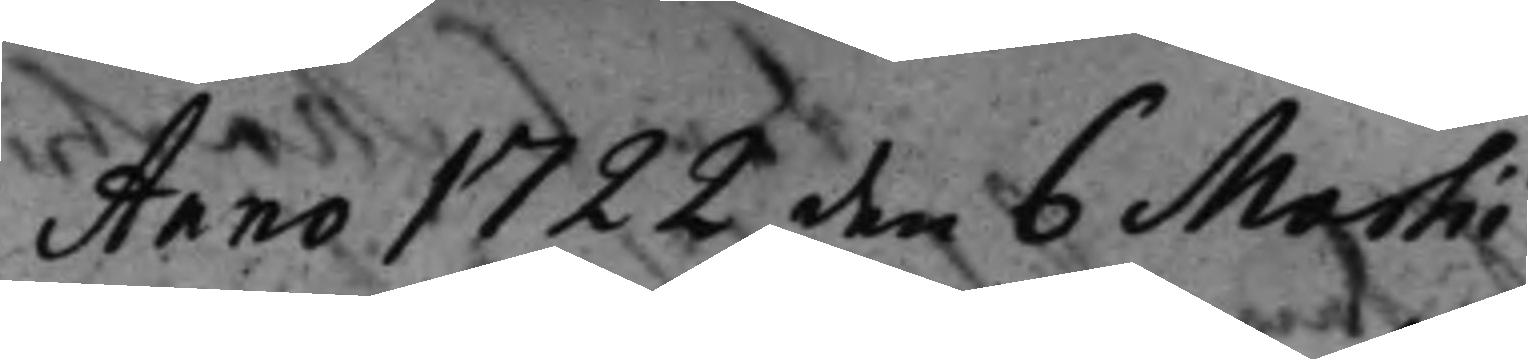Anno 1722 den 6 Martii
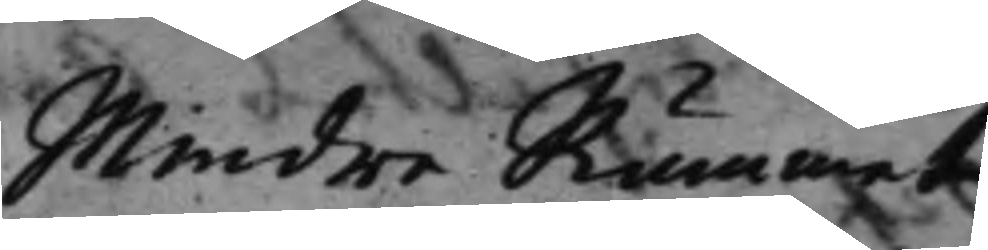Mindre Rummet
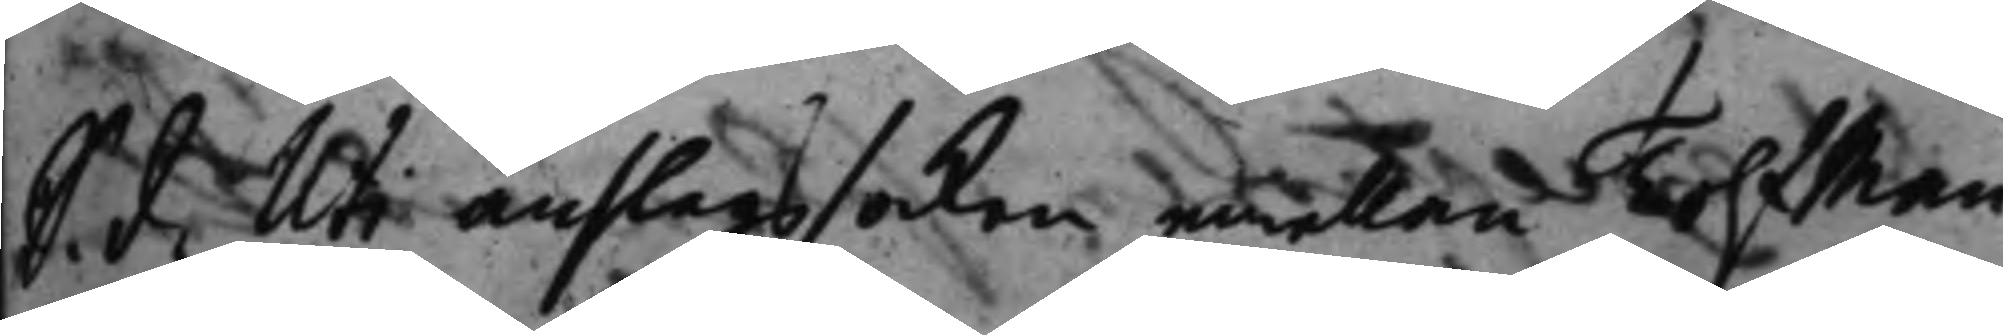S. d. Uti anslagssaken emellan Tolfman¬
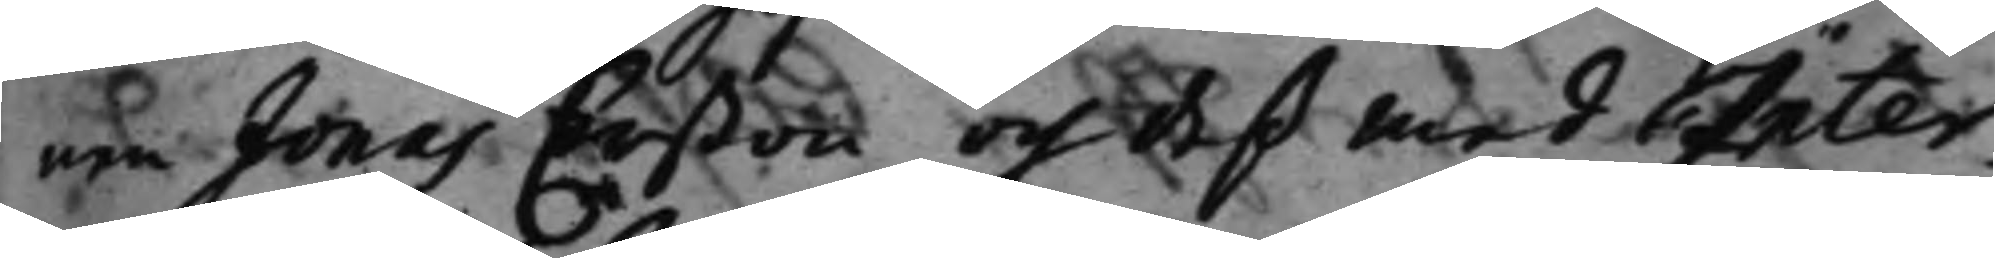nen Jonas Erßon och deß medInter¬
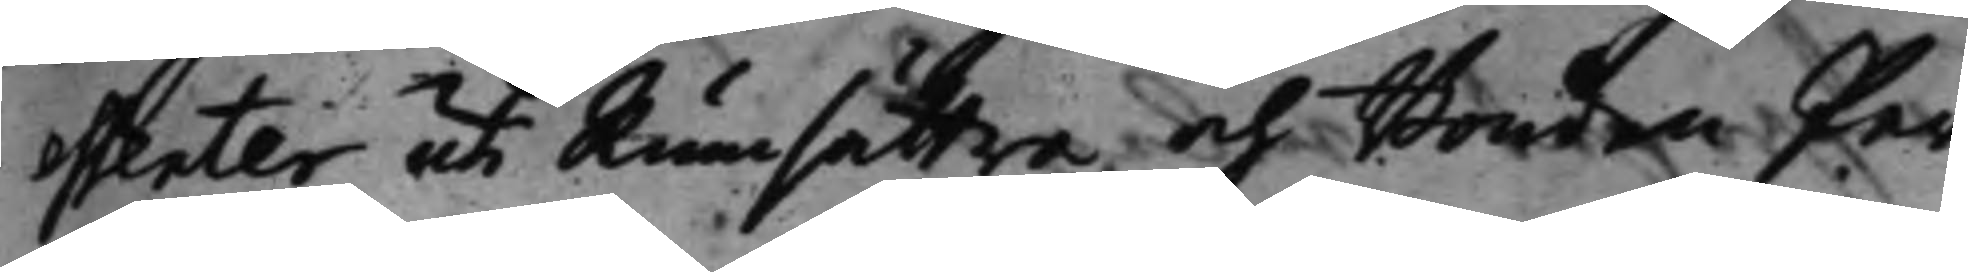essenter uti Rumsättra och Bonden Per
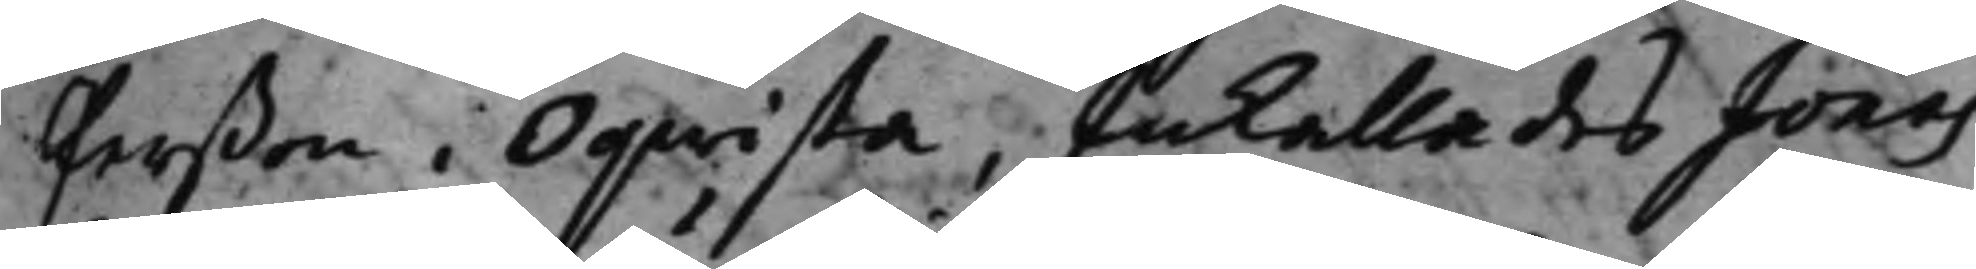Perßon i Oqwista, Inkallades Jonas
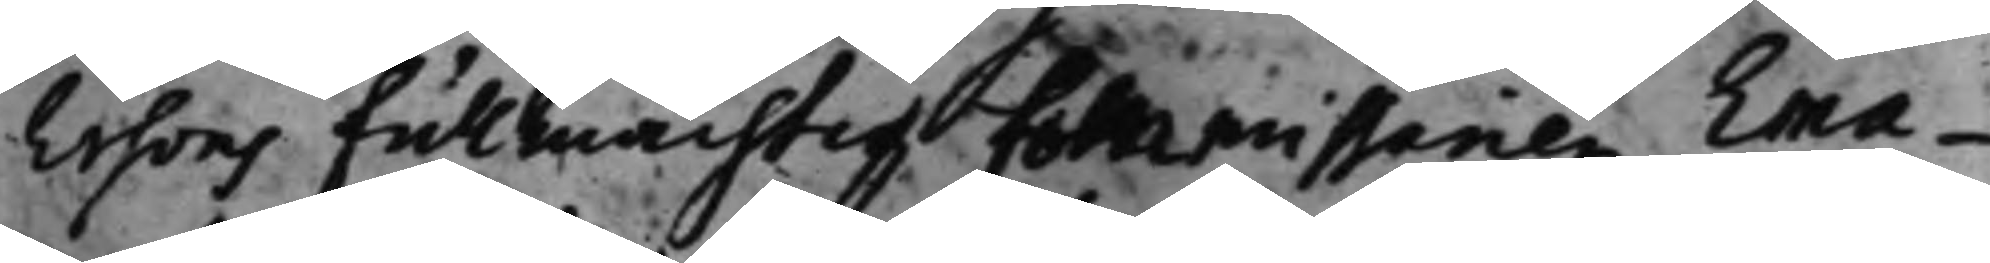Ersons fullmächtig Commissarien Ema¬
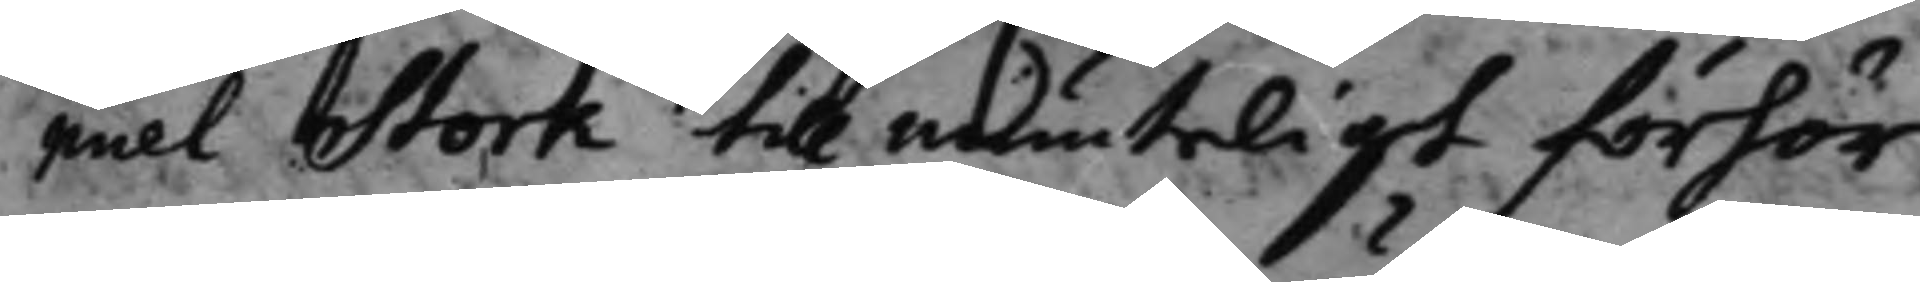nuel Stork till munteligt förhör
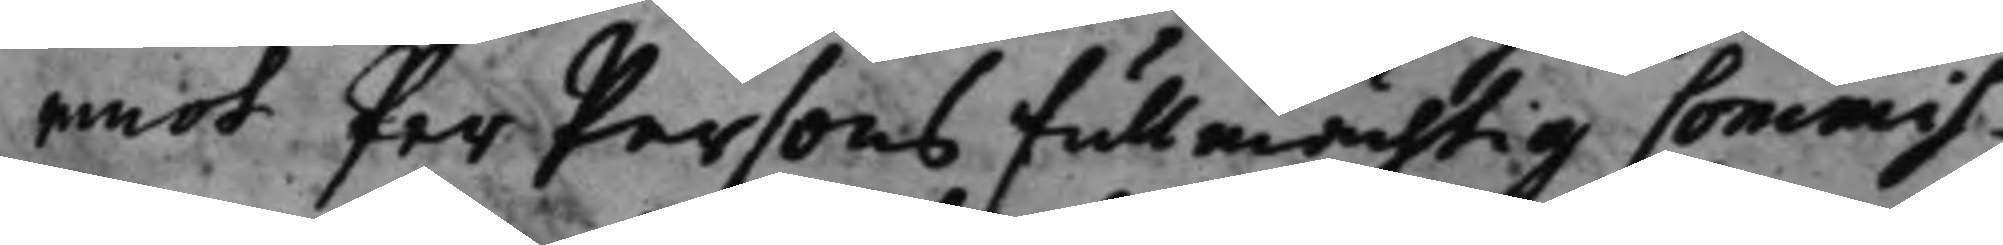emot Per Persons fullmächtig Commis¬
